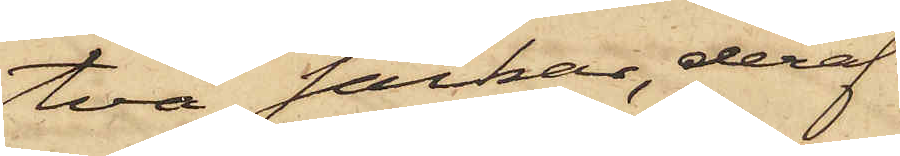två säckar, deraf
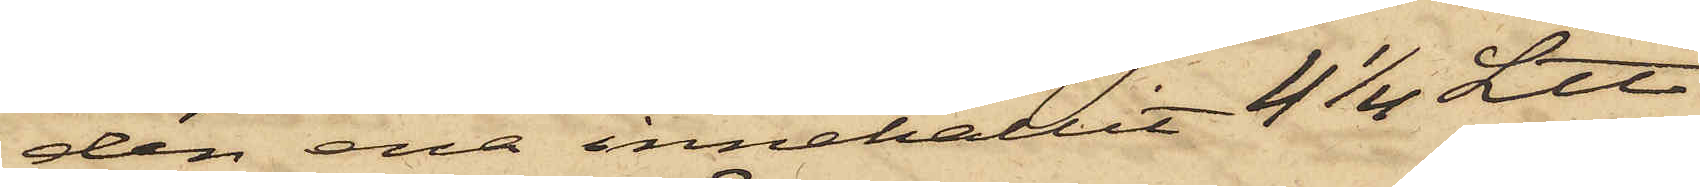den ena innehållit 4 1/4 L℔
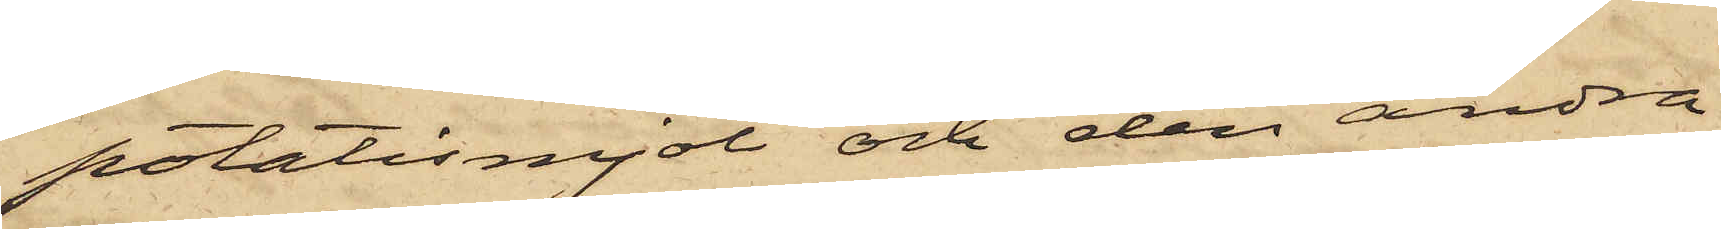potatismjöl och den andra
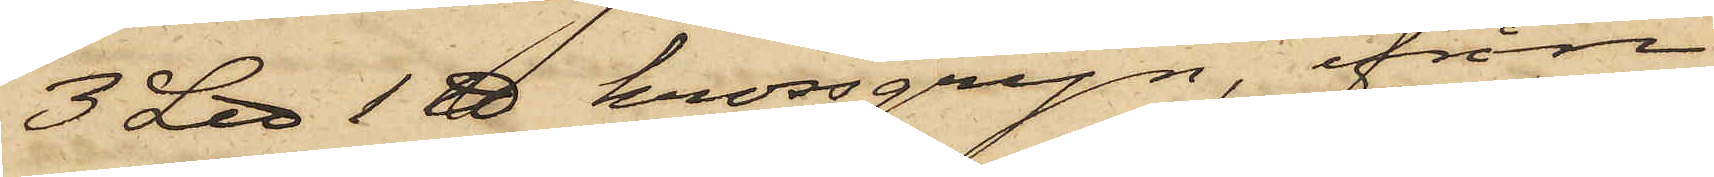3 L℔ 1 ℔ krossgryn, ifrån
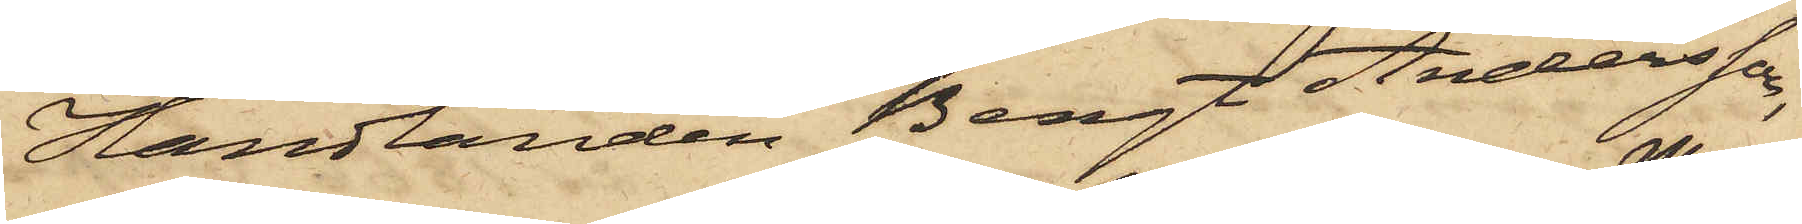Handlanden Bengt Andersson,
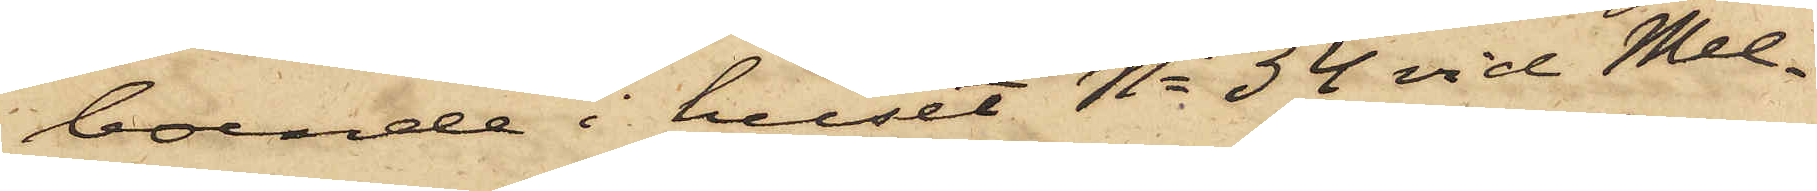boende i huset No 34 vid Mel¬
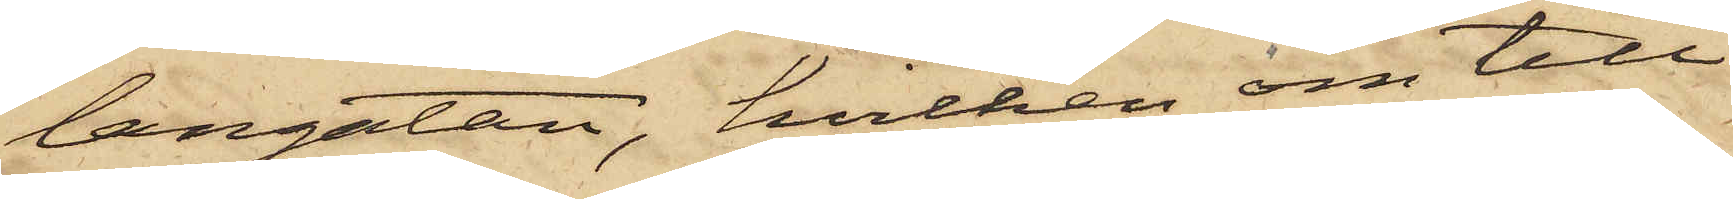langatan, hvilken om till¬
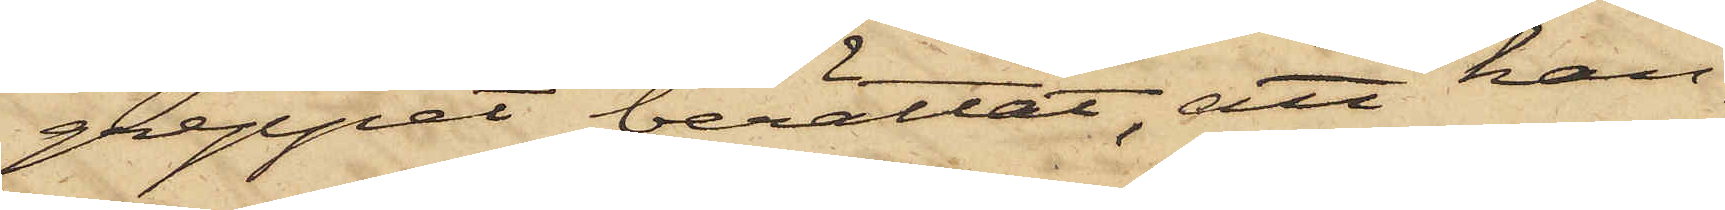greppet berättat, att han
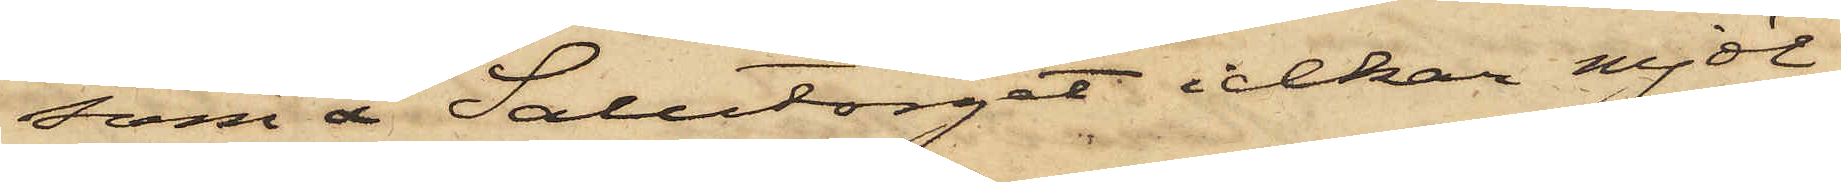som å Salutorget idkar mjöl¬
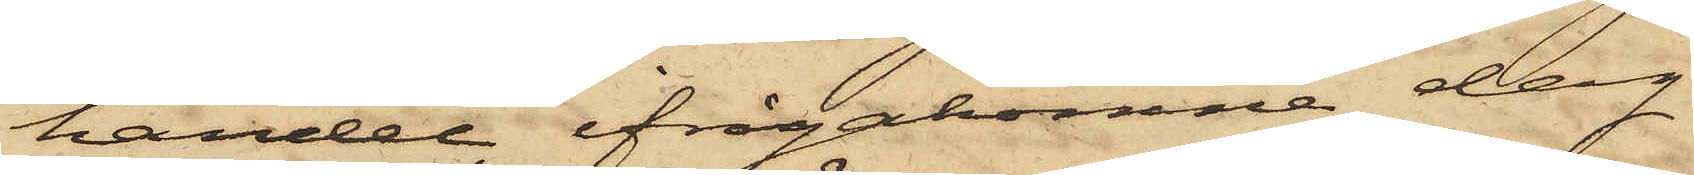handel, ifrågakomne dag
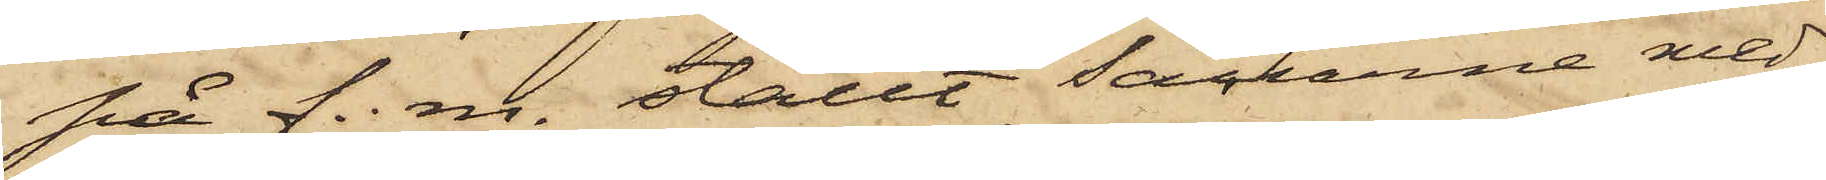på f. m. ställt säckarna med
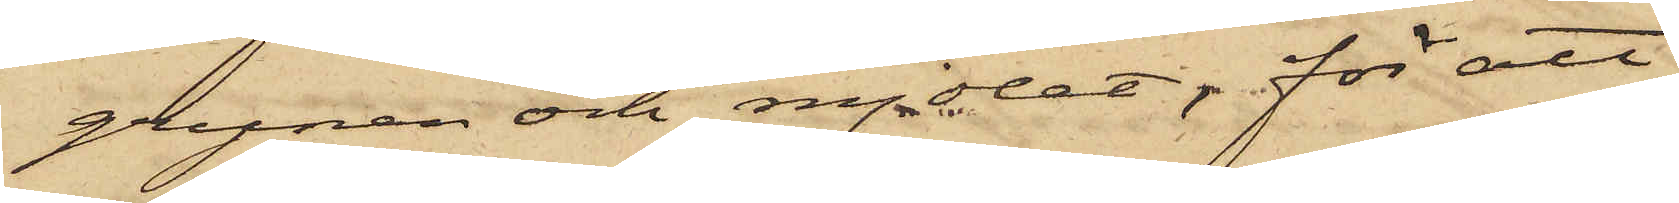grynen och mjölet; för att
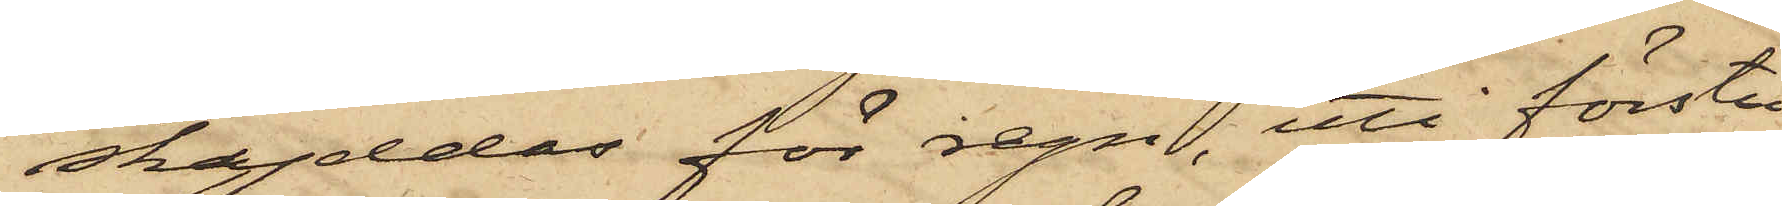skyddas för regn, uti förstu¬
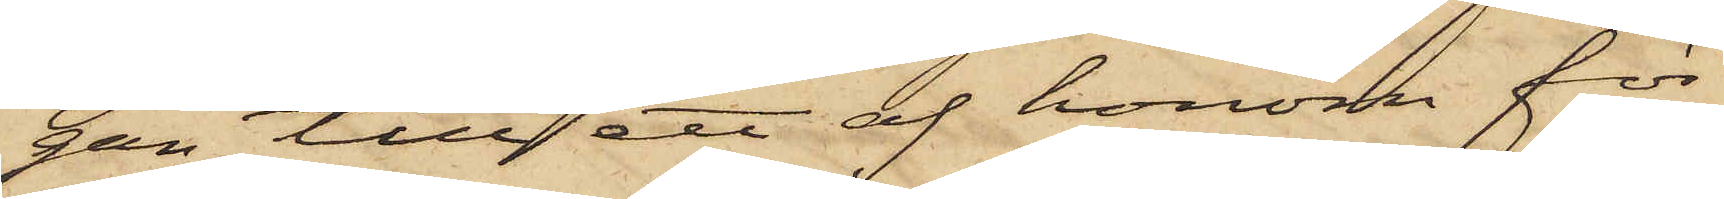gan till ett af honom för¬
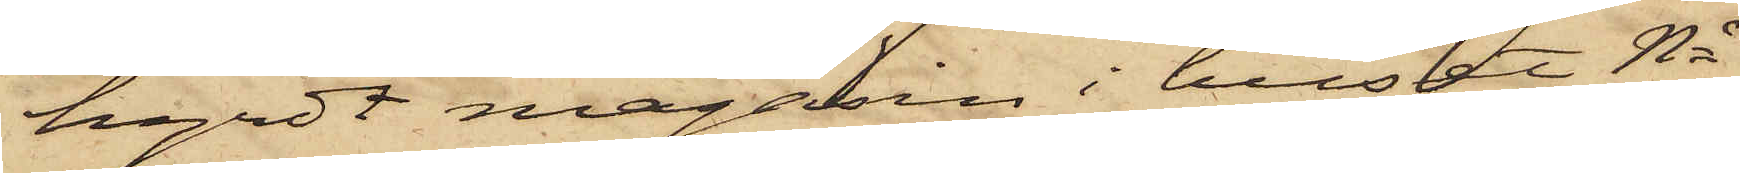hyrdt magasin i huset No
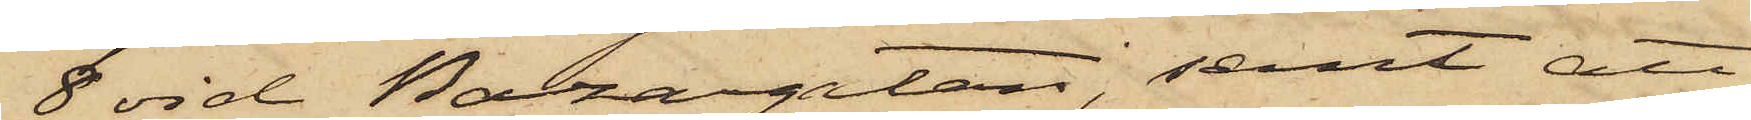8 vid Bazargatan, samt att
